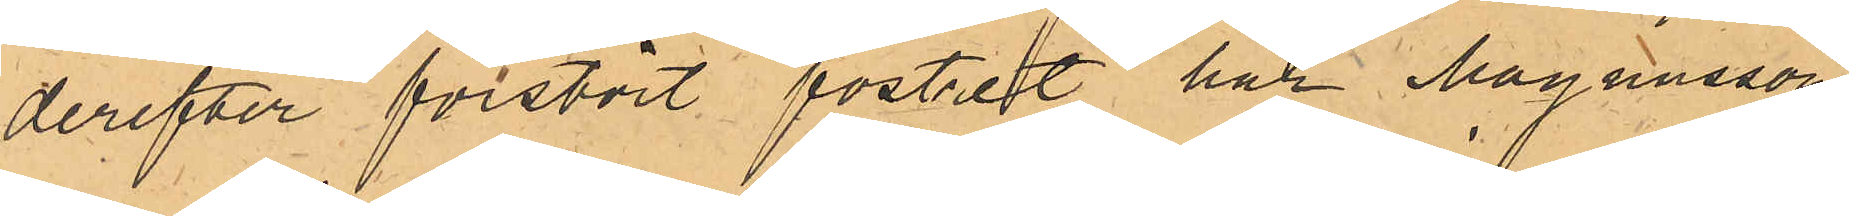derefter förstört fostret har Magnusson
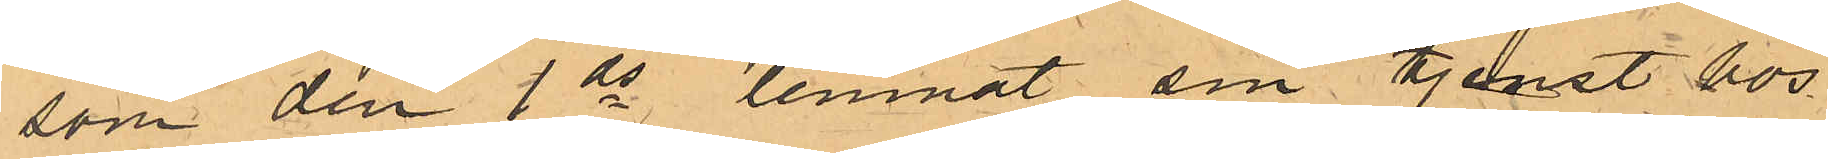som den 1 ds lemnat sin tjenst hos
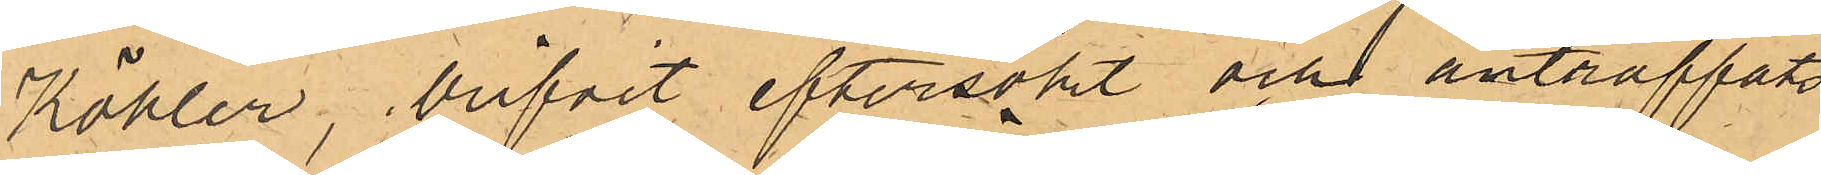Köhler, blifvit eftersökt och anträffats
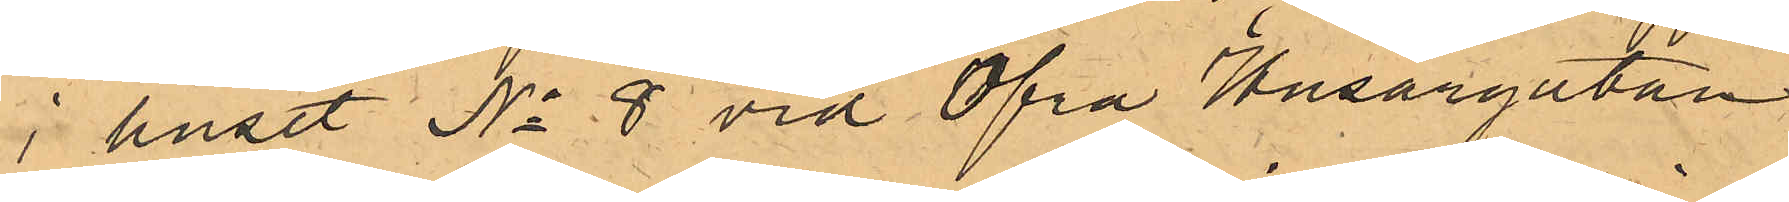i huset No 8 vid Öfra Husargatan.
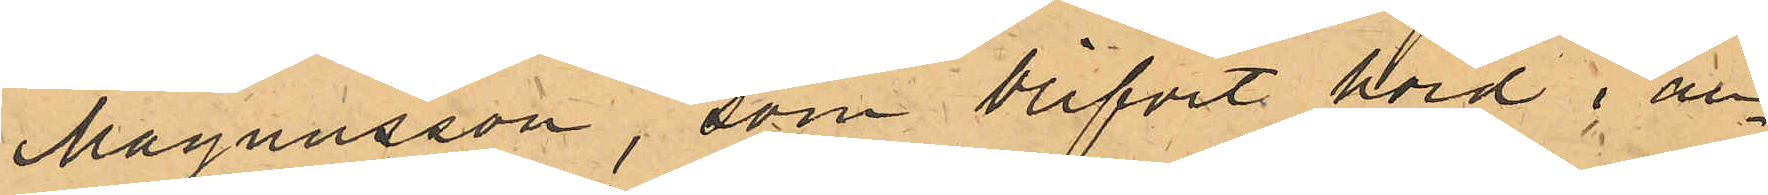Magnusson, som blifvit hörd i an¬
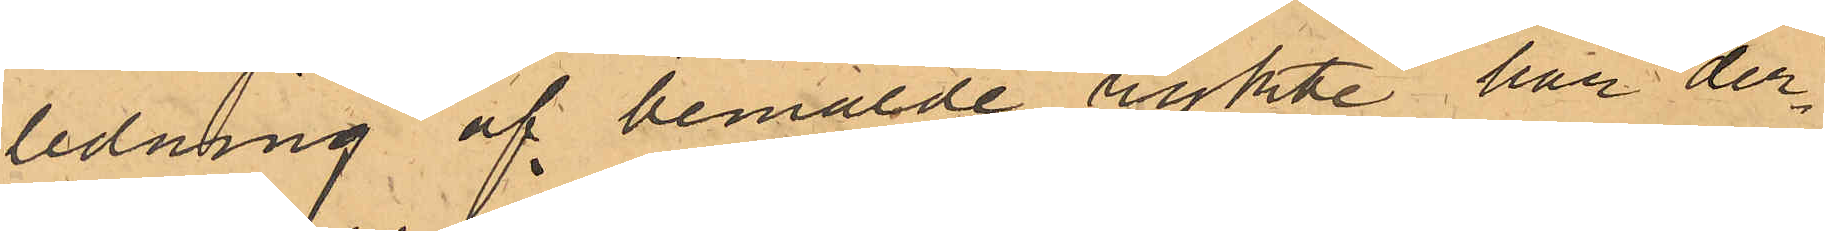ledning af bemälde rykte har der¬
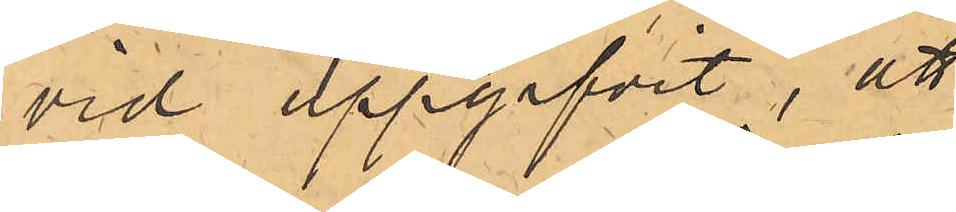vid uppgifvit, att
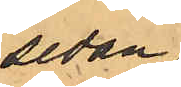sedan
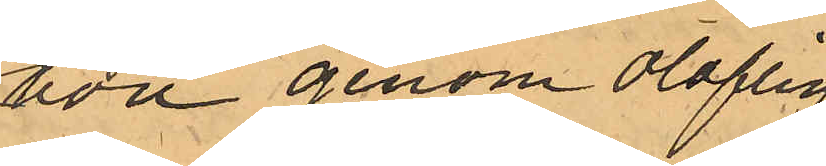hon genom oloflig
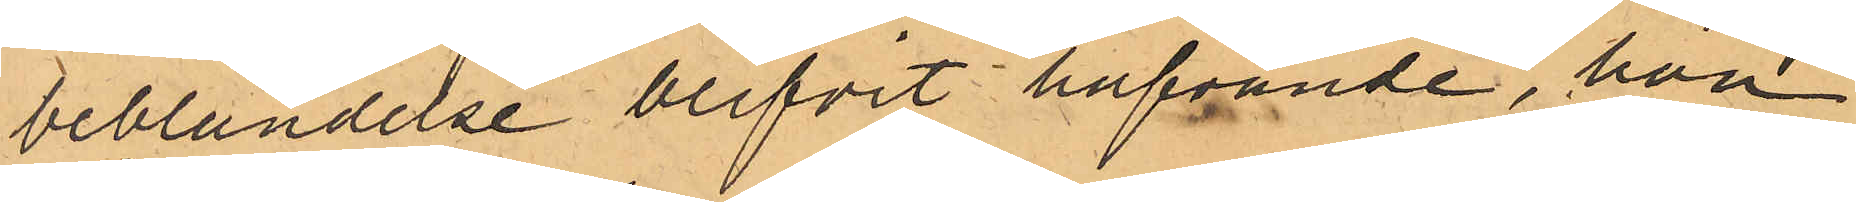beblandelse blifvit hafvande, hon
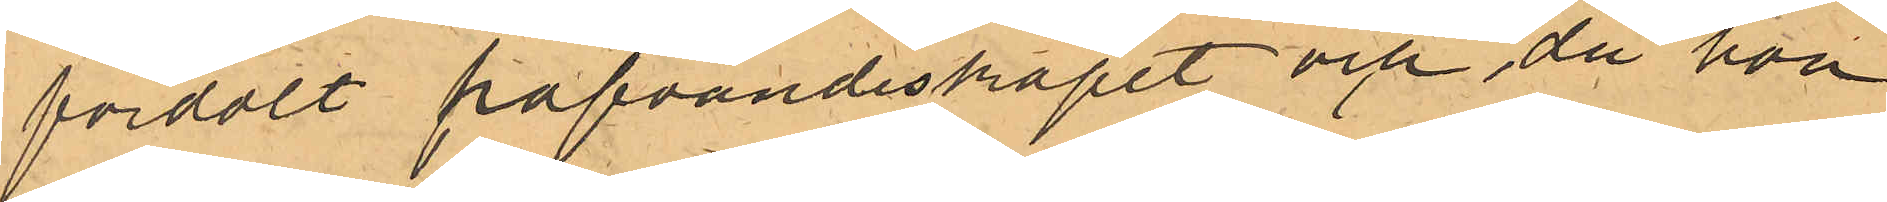fördolt hafvandeskapet och, då hon
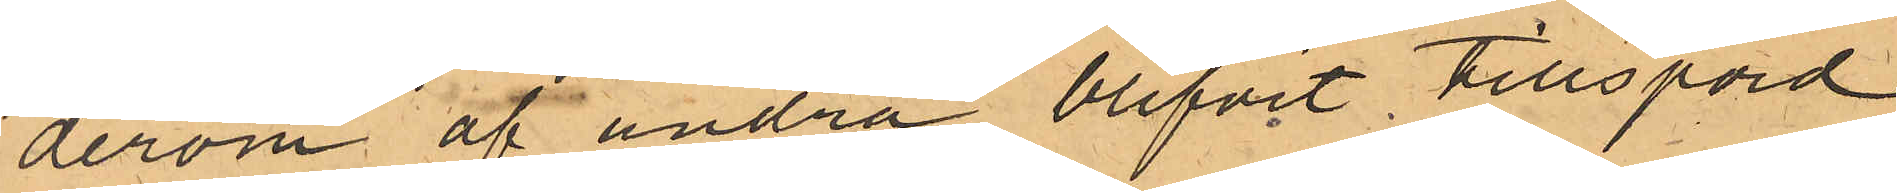derom af andra blifvit tillspord,
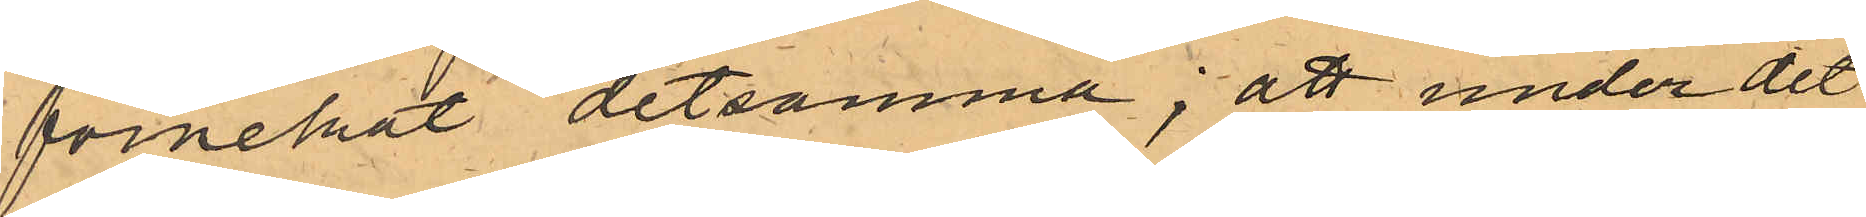förnekat detsamma; att under det
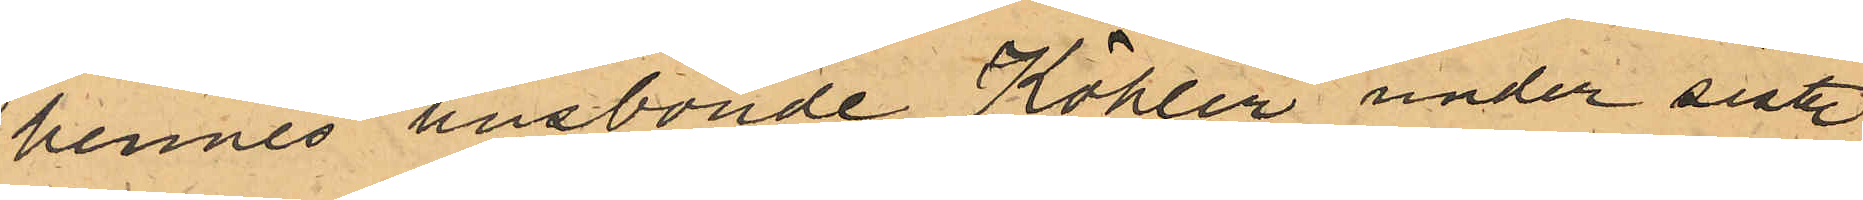hennes husbonde Köhler under sistl.
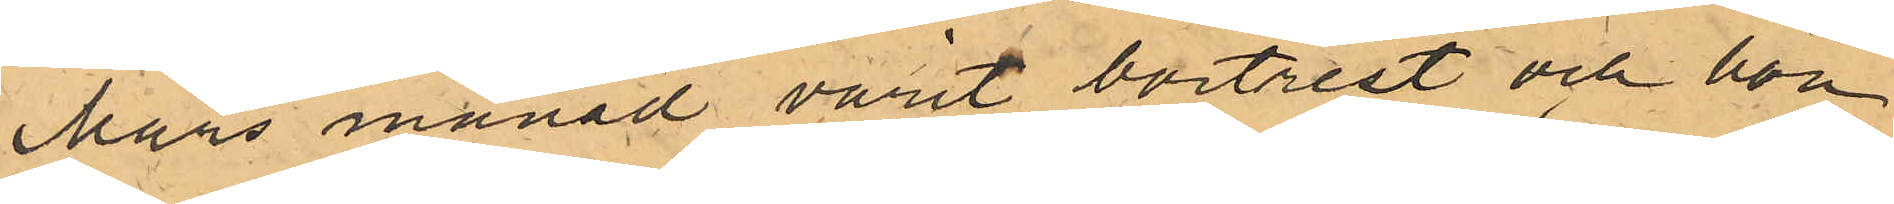Mars månad varit bortrest och hon
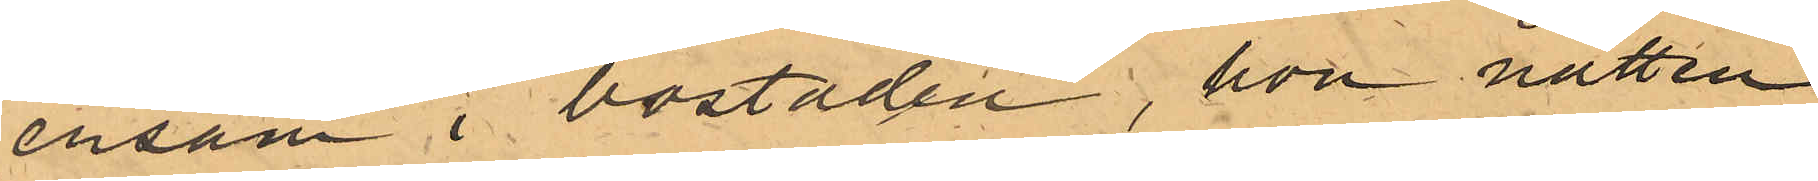ensam i bostaden, hon natten
